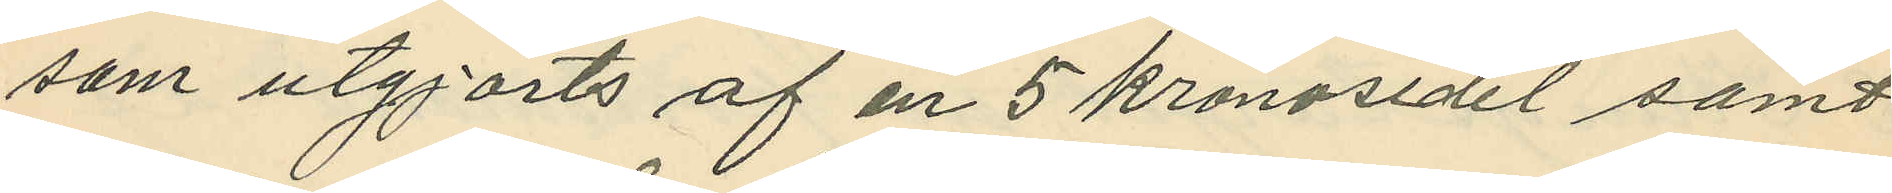som utgjorts af en 5 kronosedel samt
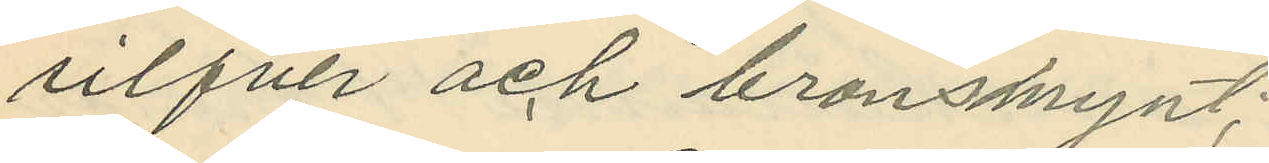silfver och bronsmynt;
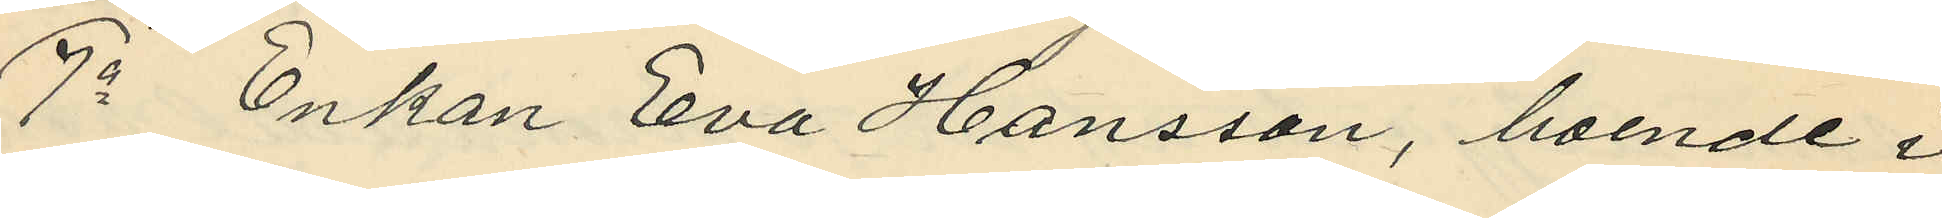7o Enkan Eva Hansson, boende i
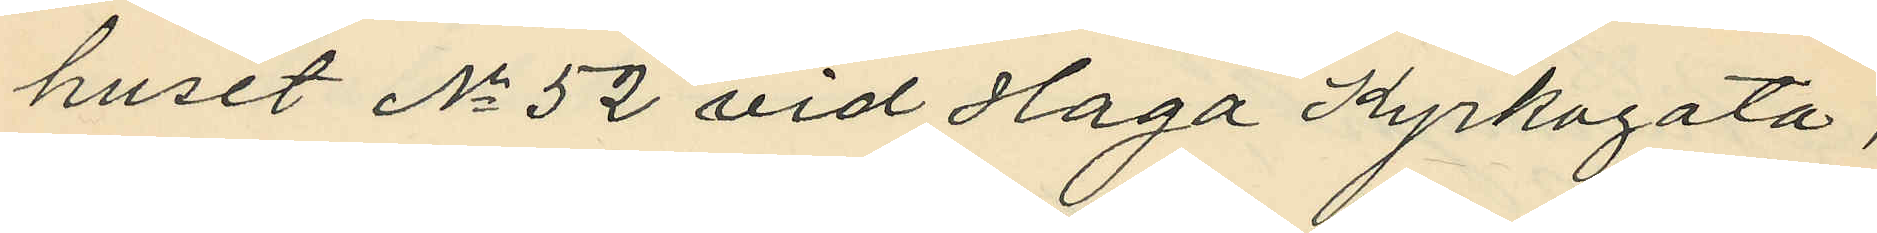huset No 52 vid Haga Kyrkogata,
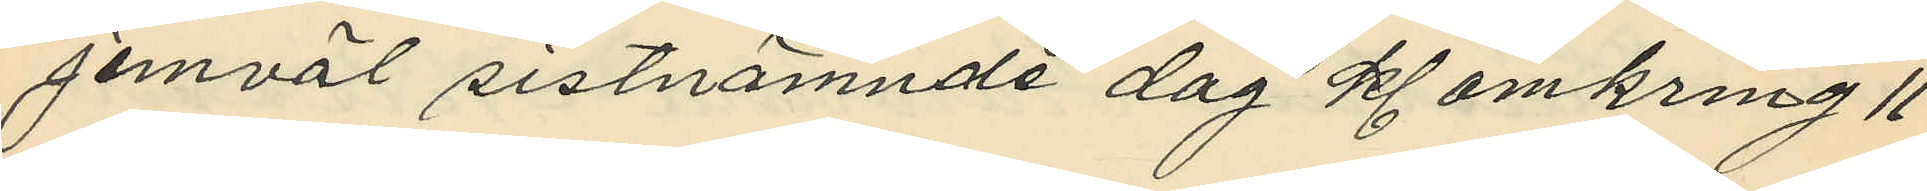jemväl sistnämnde dag kl. omkring 11
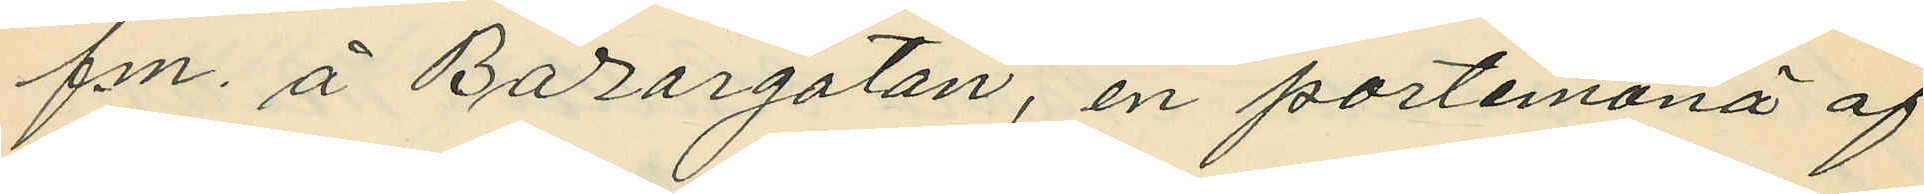f.m. å Bazargatan, en portemonä af
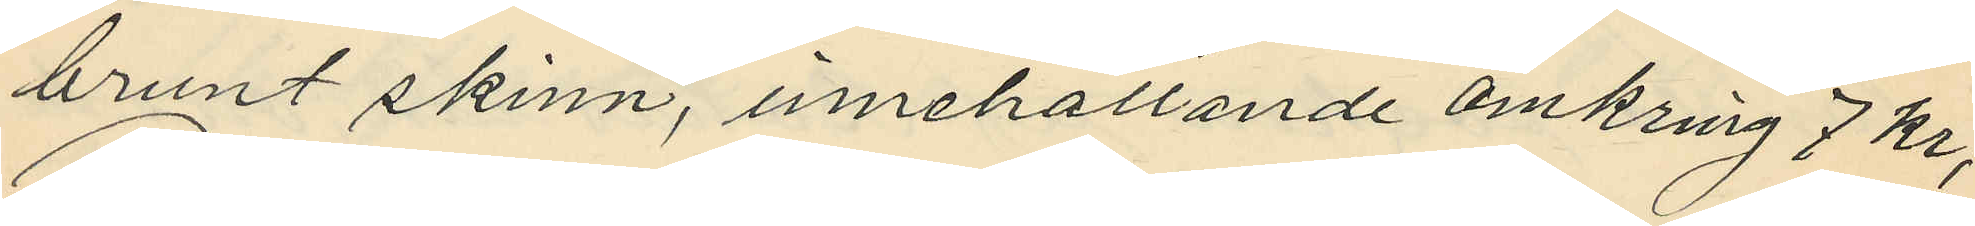brunt skinn, innehållande omkring 7 kr;
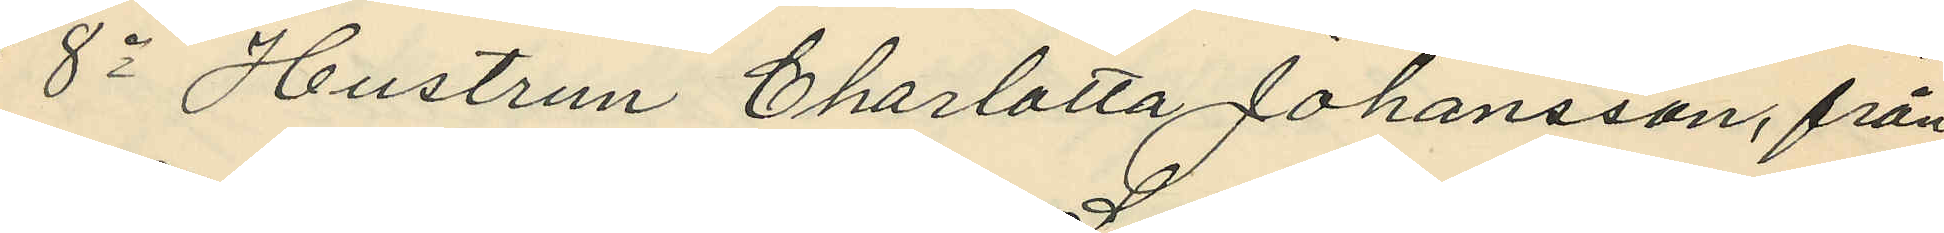8o Hustrun Charlotta Johansson, från
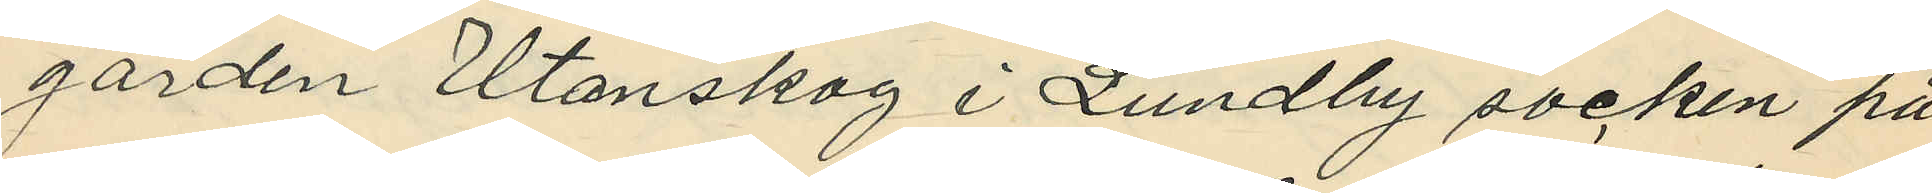gården Utanskog i Lundby socken på
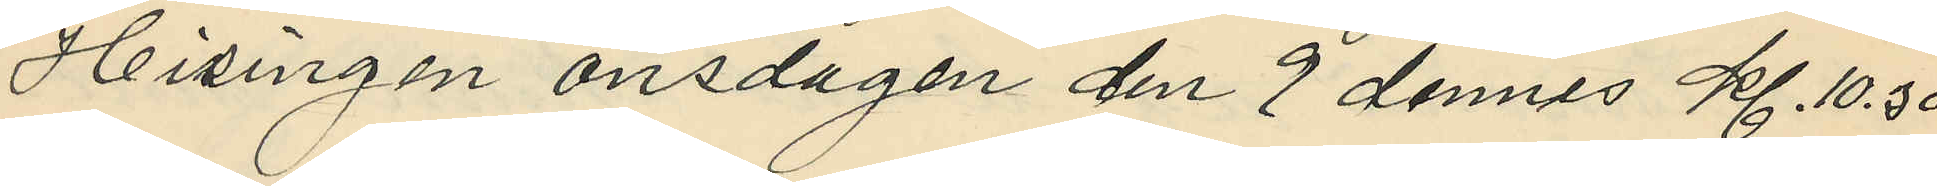Hisingen onsdagen den 9 dennes kl. 10.30
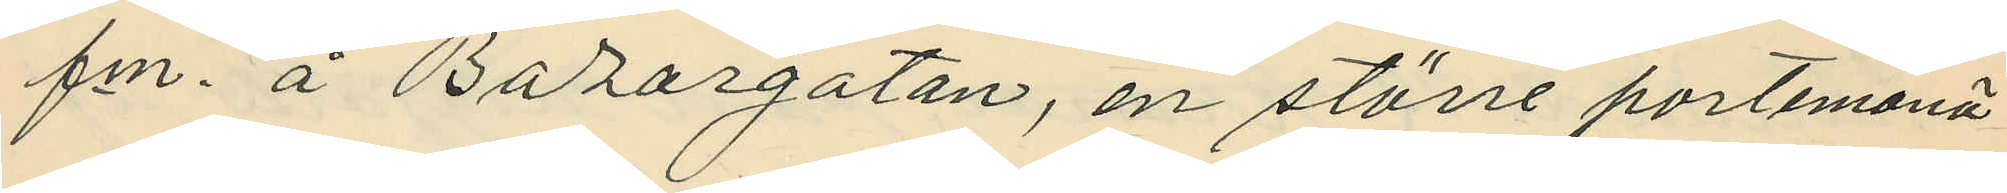f.m. å Bazargatan, en större portemonä
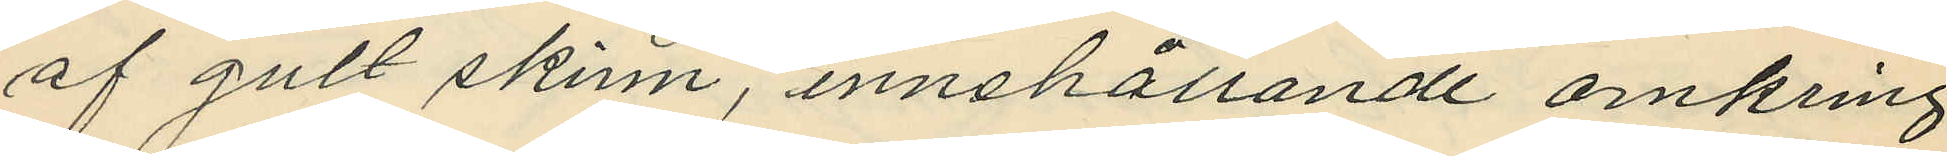af gult skinn, innehållande omkring
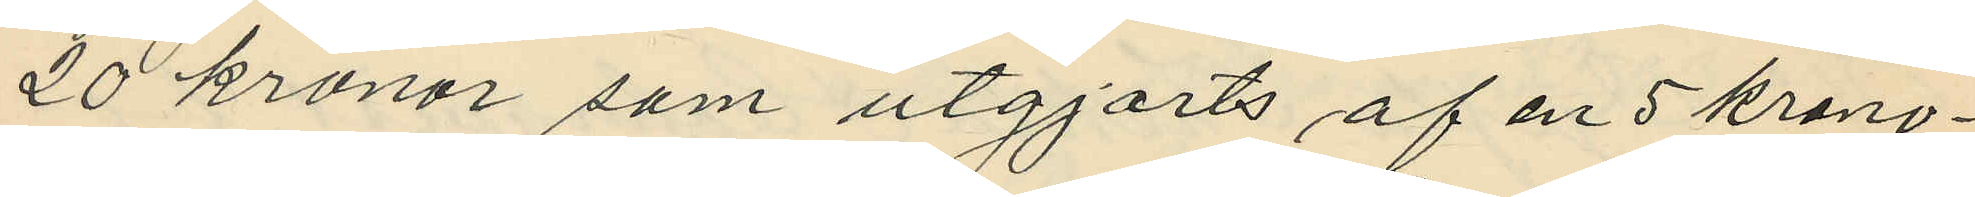20 kronor som utgjorts af en 5 krono¬
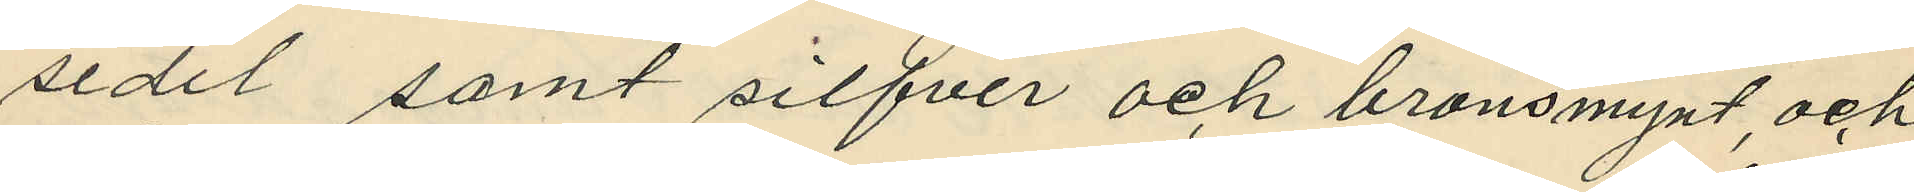sedel samt silfver och bronsmynt, och
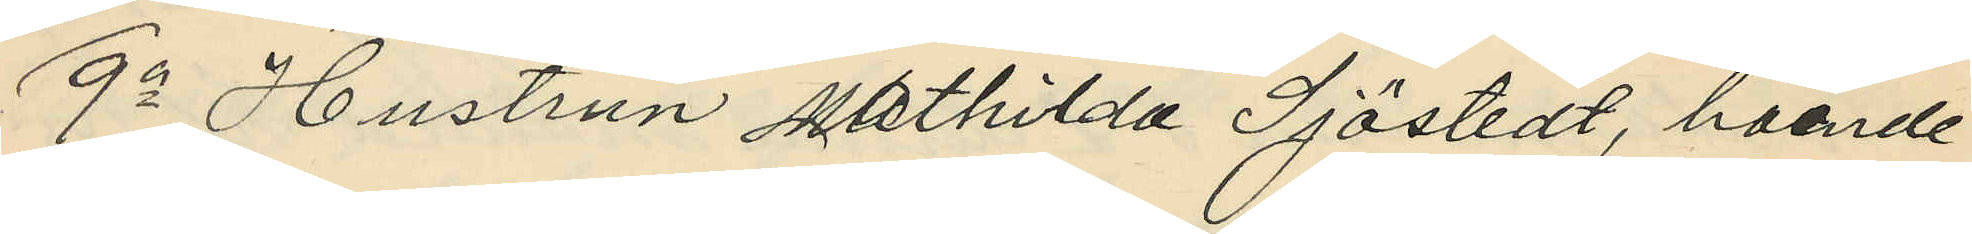9o Hustrun Mathilda Sjöstedt, boende
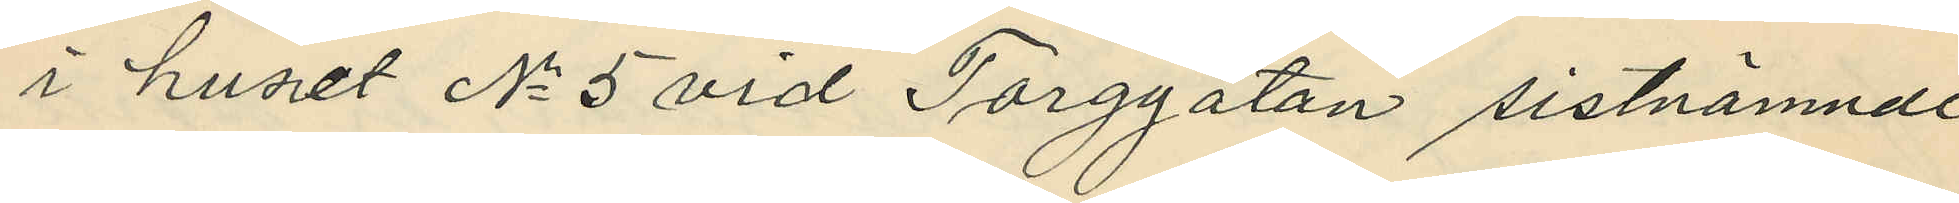i huset No 5 vid Torggatan sistnämnde
